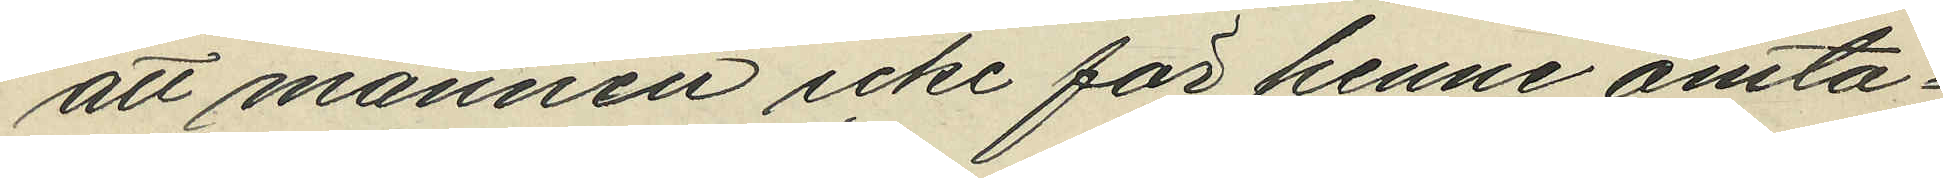att mannen icke för henne omta¬
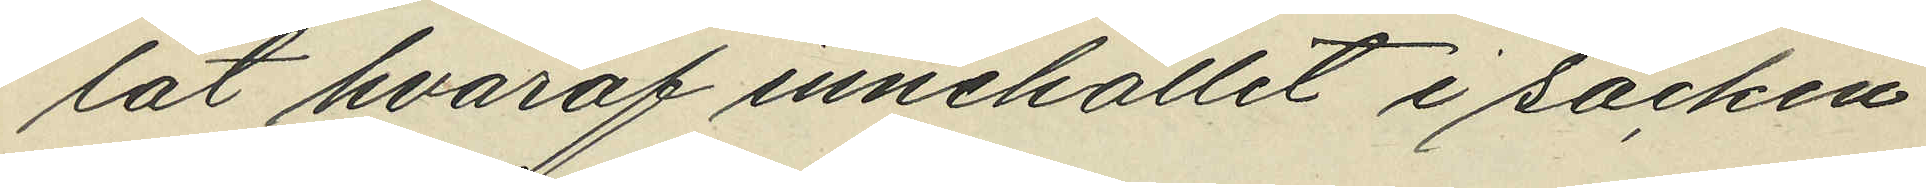lat hvaraf innehållet i säcken
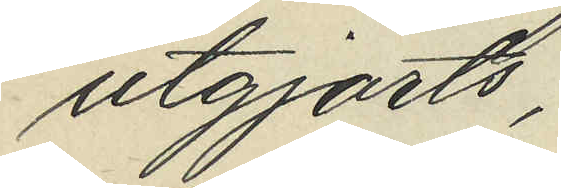utgjorts;
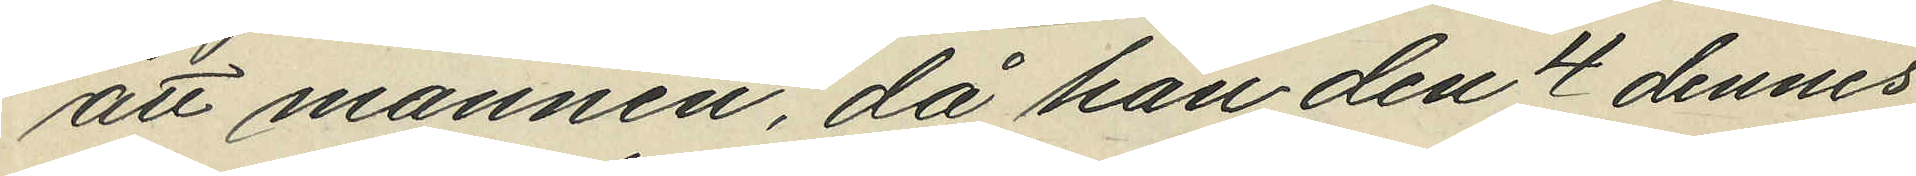att mannen, då han den 4 dennes
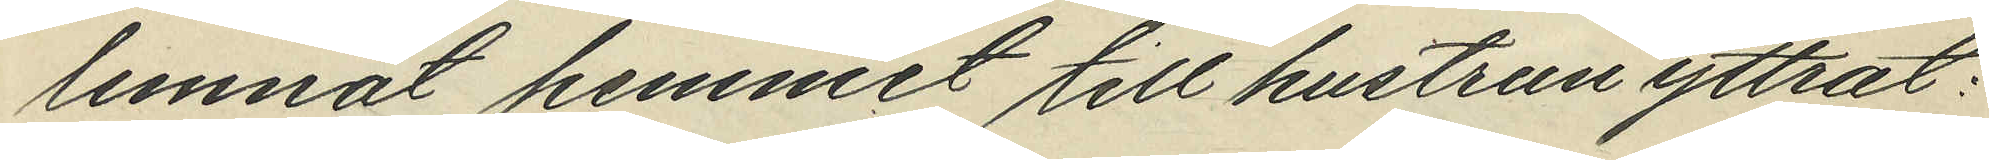lemnat hemmet till hustrun yttrat:
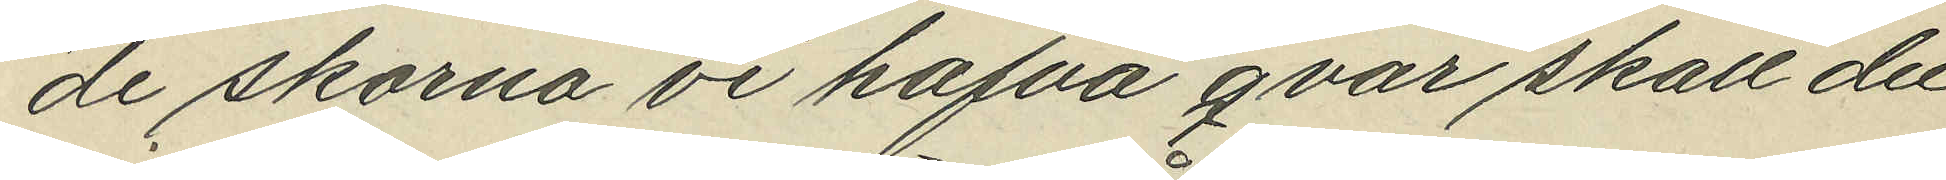"de skorna vi hafva qvar skall du
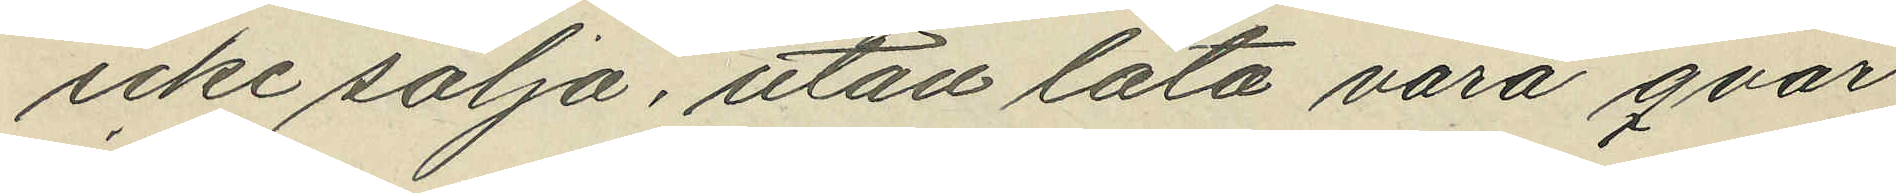icke sälja, utan låta vara qvar
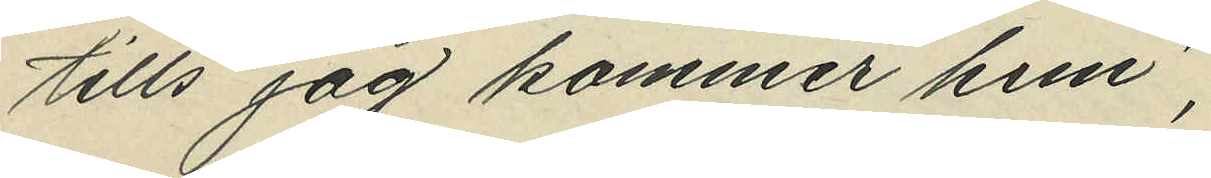tills jag kommer hem",
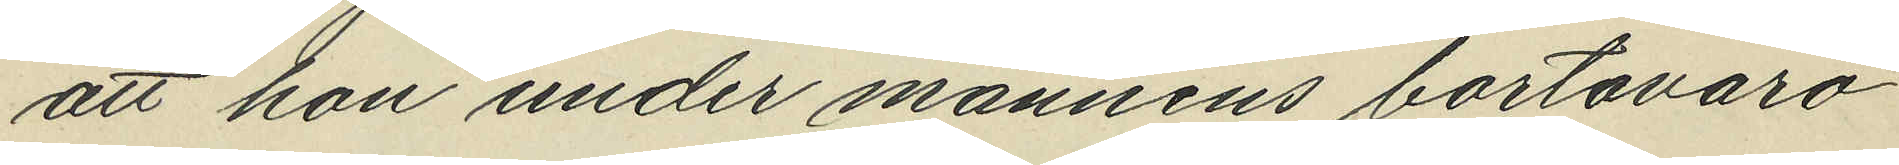att hon under mannens bortavaro
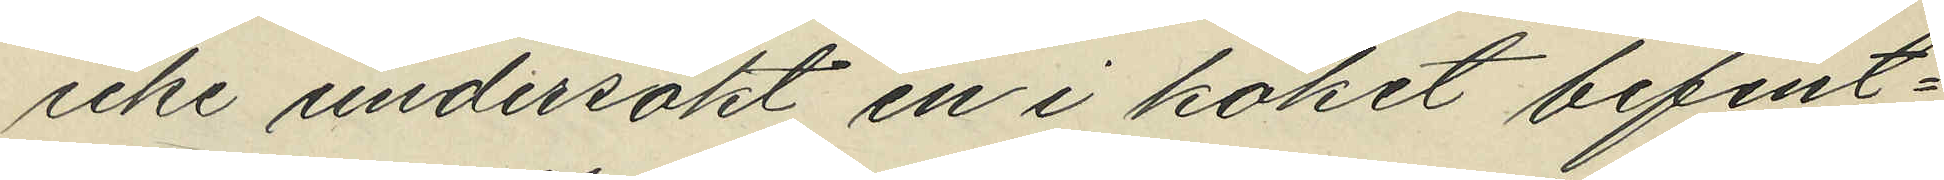icke undersökt en i köket befint¬
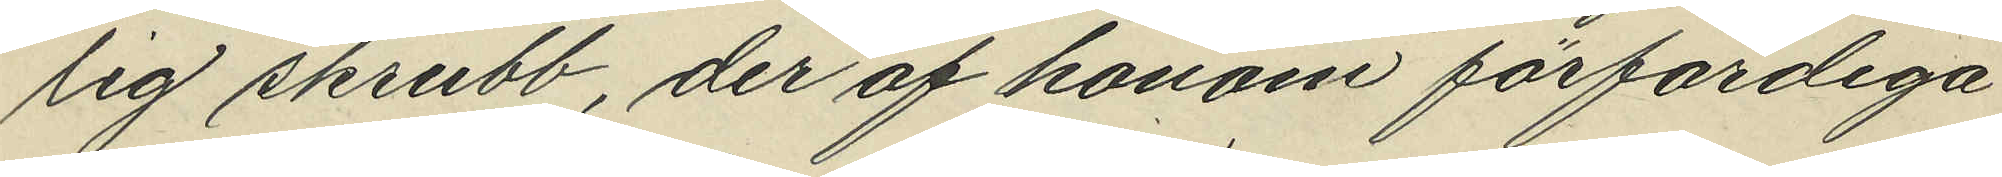lig skrubb, der af honom förfärdiga¬
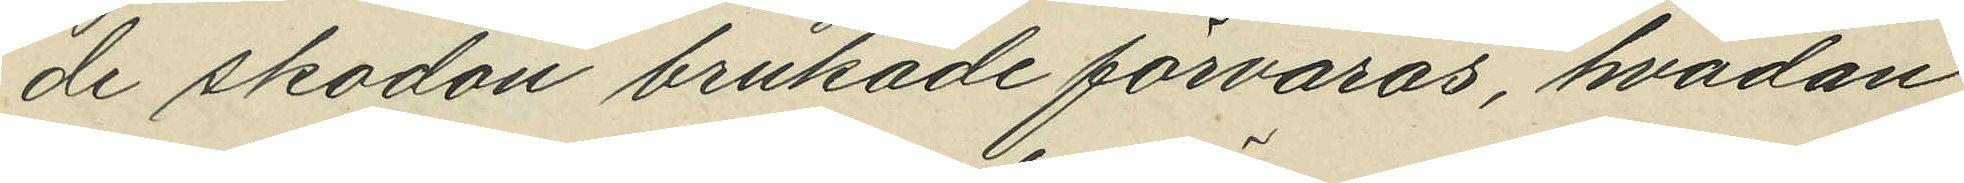de skodon brukade förvaras, hvadan
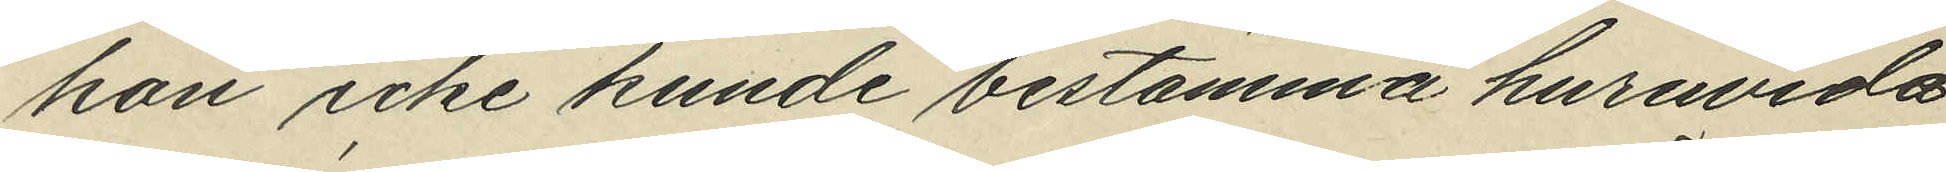hon icke kunde bestämma huruvida
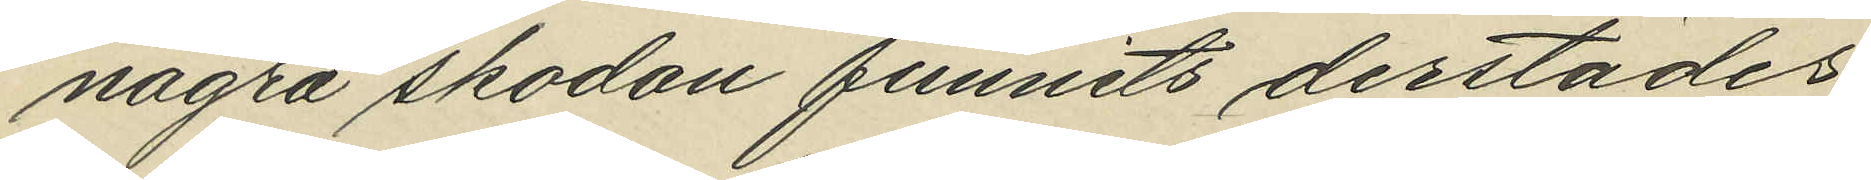några skodon funnits derstädes,
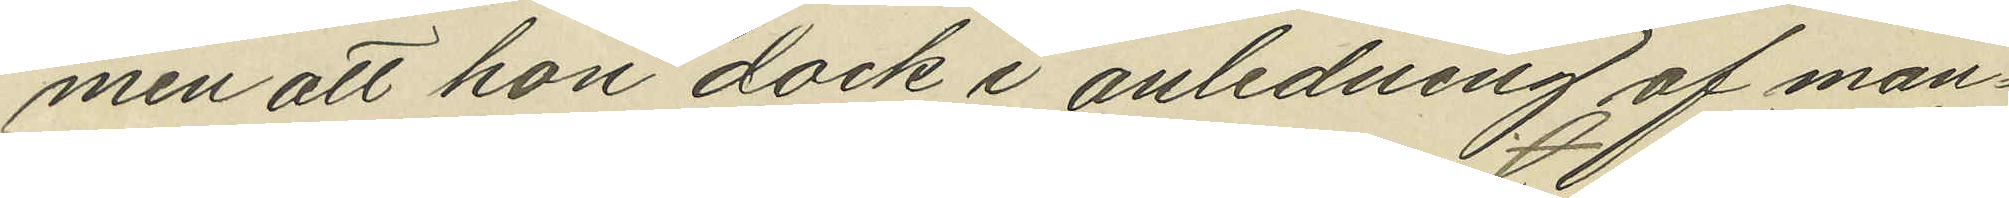men att hon dock i anledning af man¬
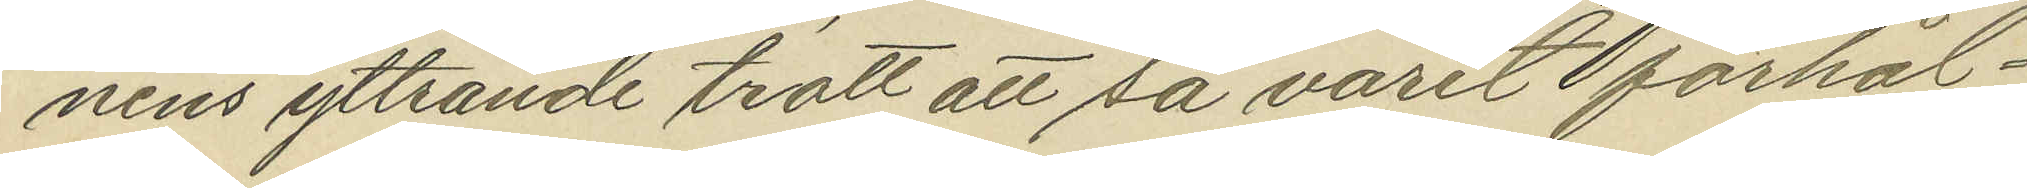nens yttrande trott att så varit förhål¬
